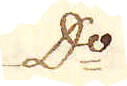D:o
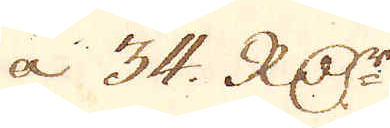à 34. RD:r
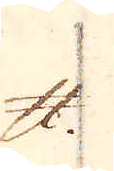skålpund
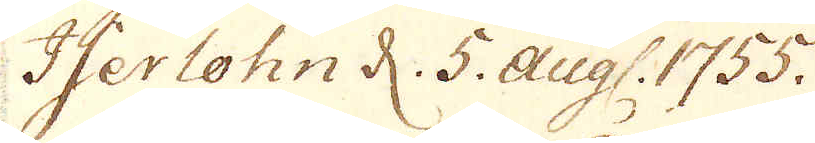Iserlohn d: 5. augs. 1755.
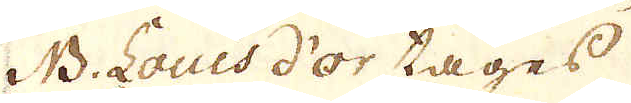NB: Lous d'or tages
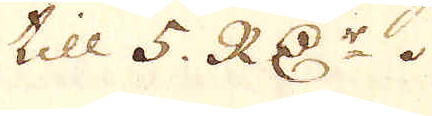till 5. RD:r.
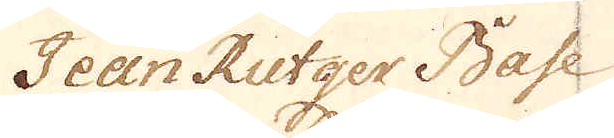Jean Rutger Base
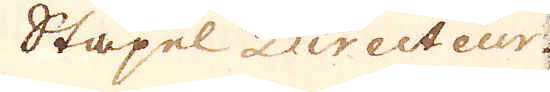Stapel Directeur
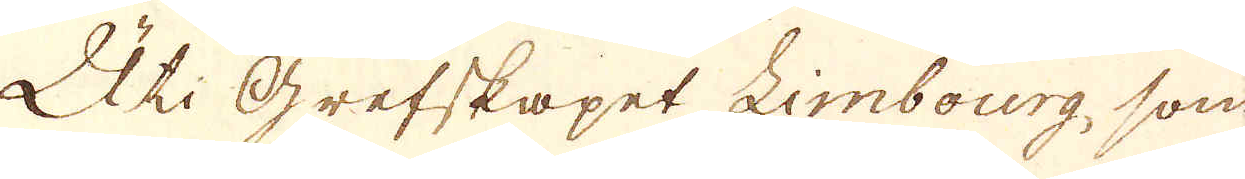Uti Grefskapet Limbourg, som
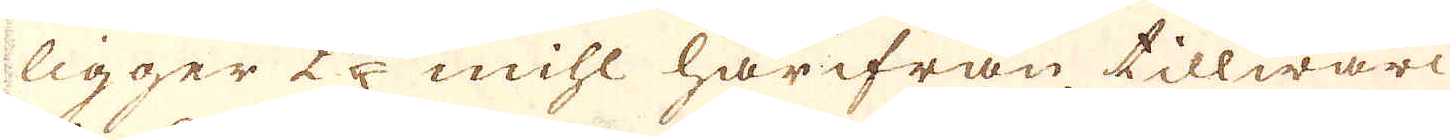ligger 25 mihl härifrån tillwärc-
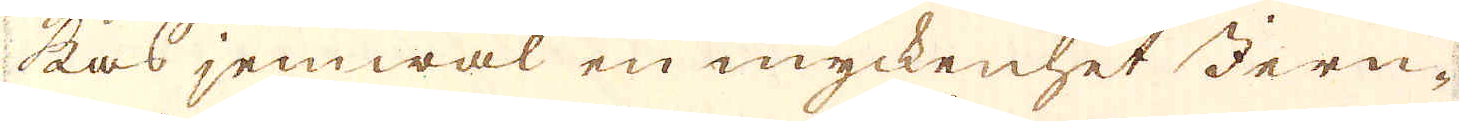kas jemwäl en myckenhet Jern-
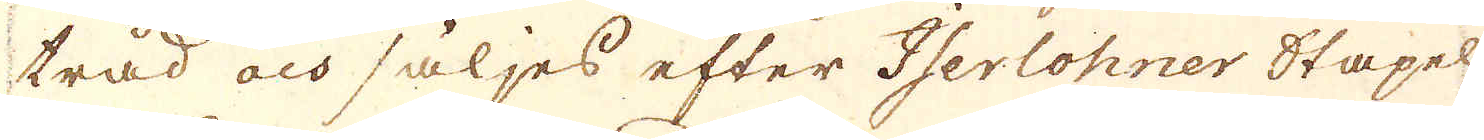träd och säljes efter Iserlohner Stapel
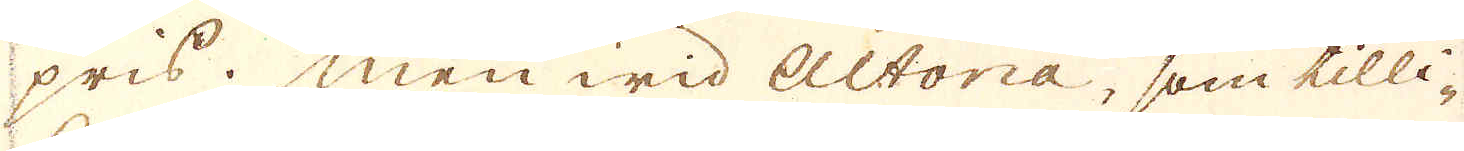pris. Men wid Altona, som tilli-
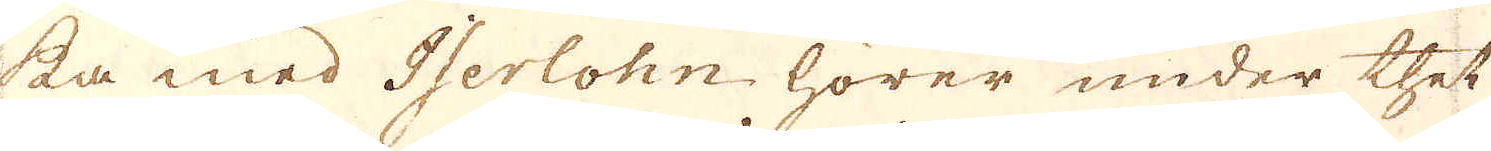ka med Iserlohn hörer, under thet
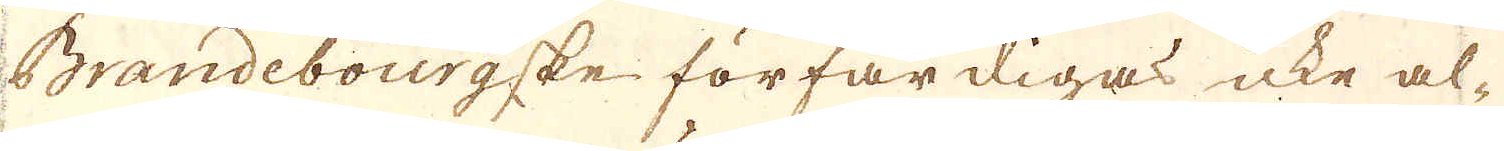Brandebourgske förfärdigas icke al-
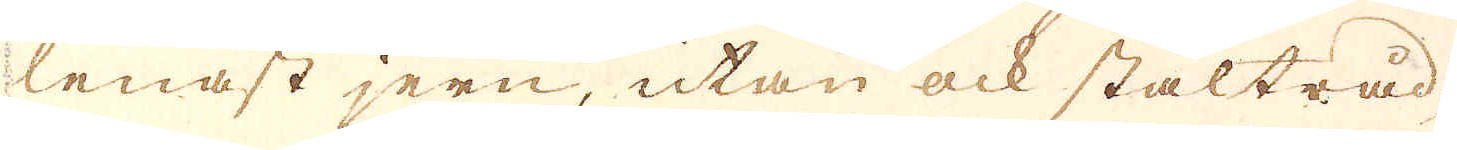lenast jern, utan ock stålträd,
